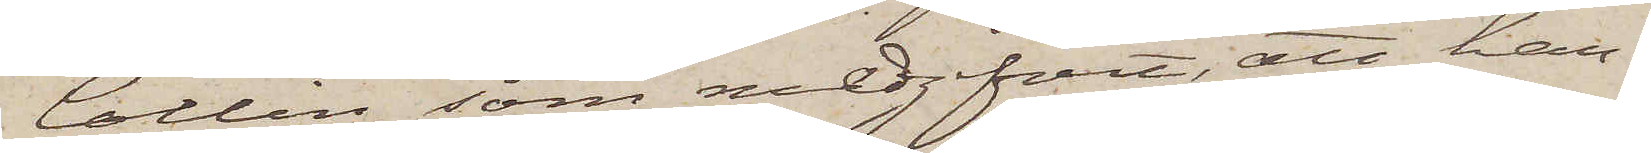Collin, som medgifvit, att han,
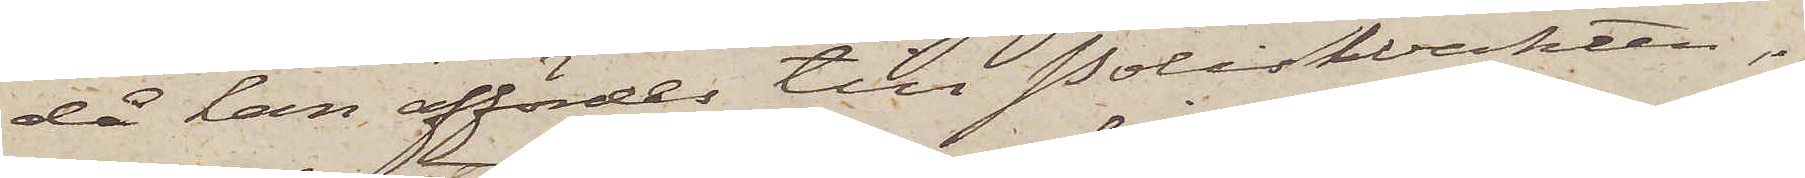då han affördes till PolisWakten,
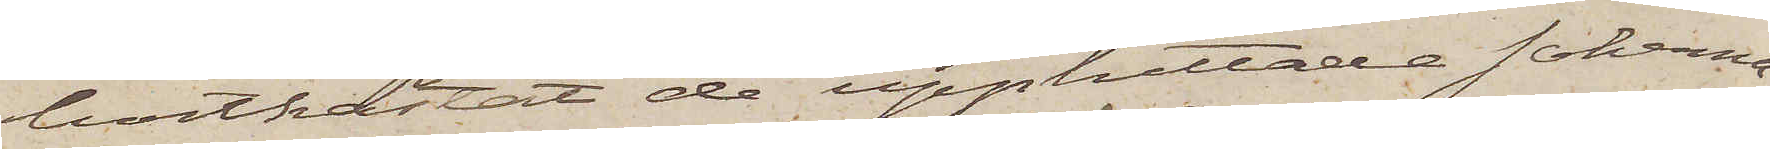bortkastat de upphittade sakerna,
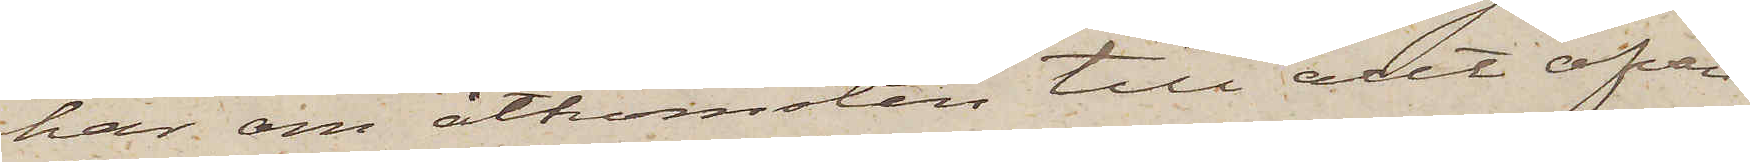har om åtkomsten till allt ofvan¬
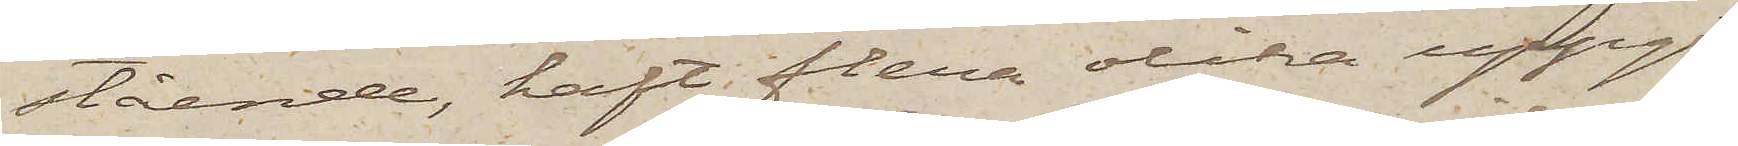stående, haft flera olika uppgif¬
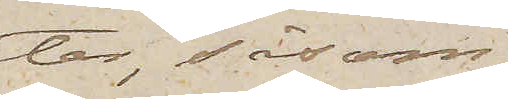ter, såsom
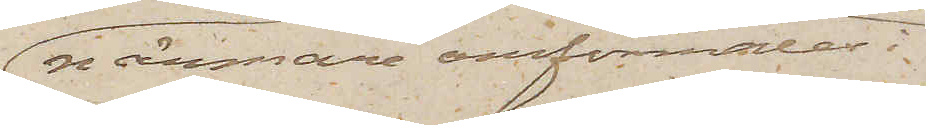närmare omförmäles i
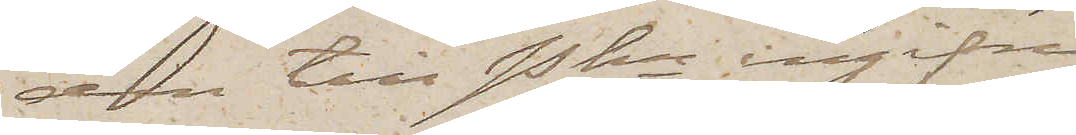den till Pkn ingifne
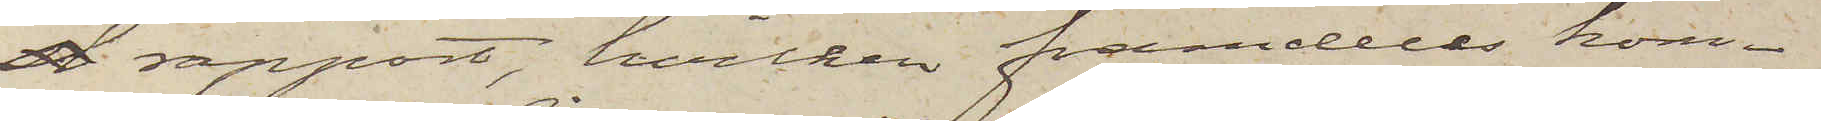d rapport, hvilken framdeles kom¬
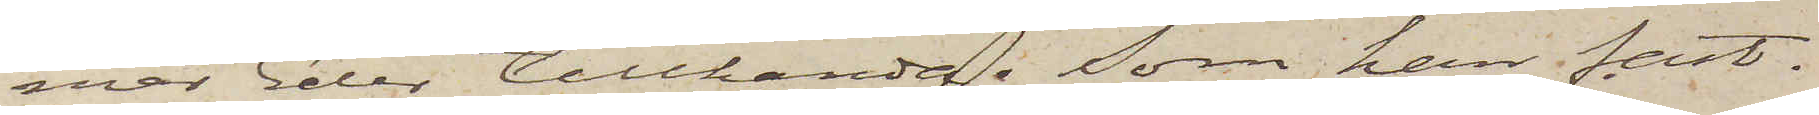mer Eder tillhanda. Som han fast¬
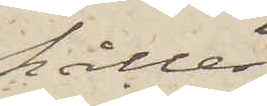håller
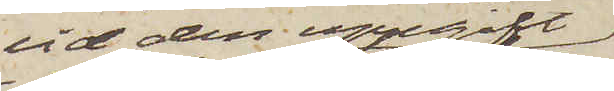vid den uppgift
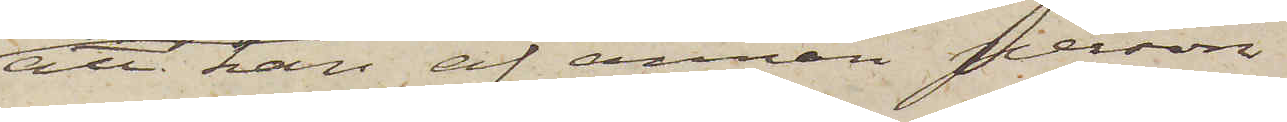att han af annan person
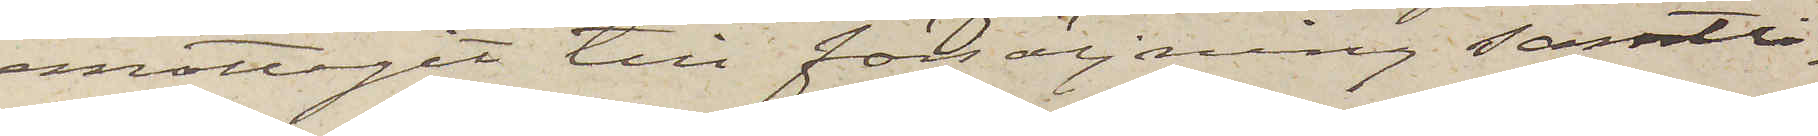emottagit till försäljning samtli¬
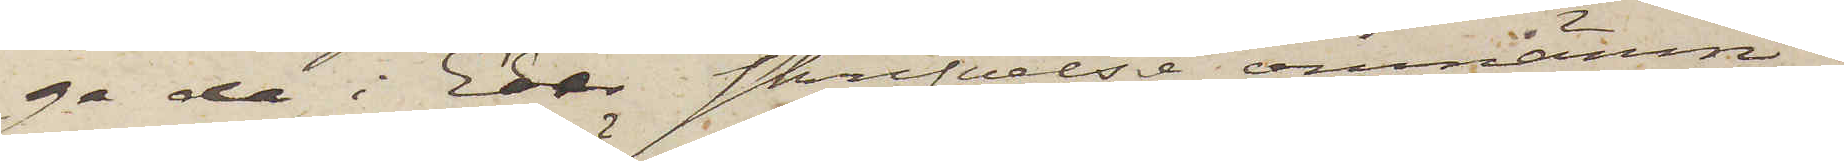ga de i Eder skrifvelse omnämn¬
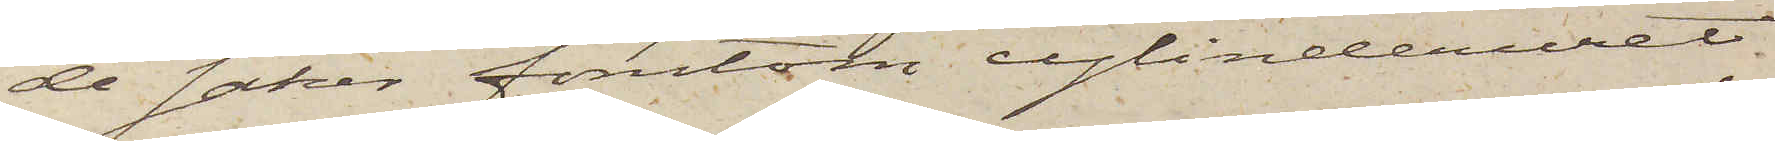de saker förutom cylinderuret
